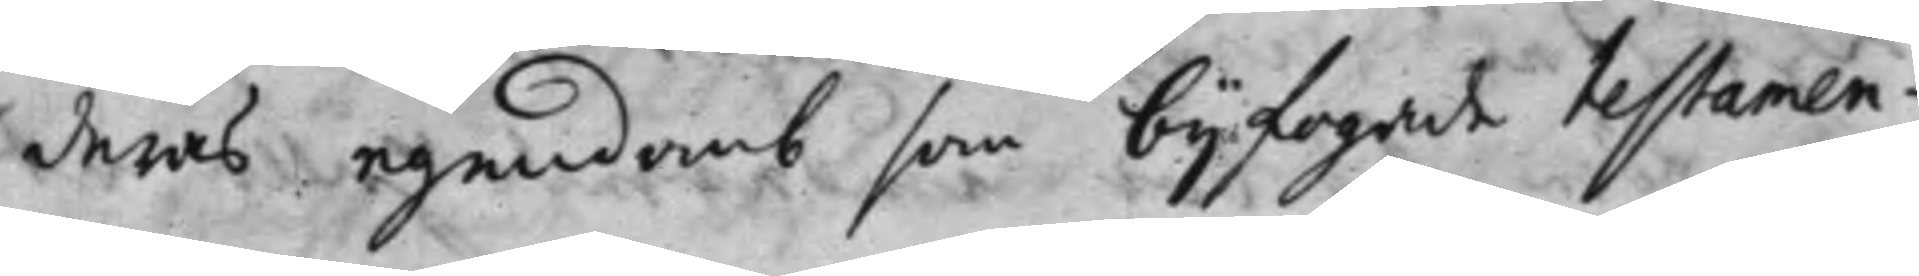deras egendomb som bijfogade testamen¬
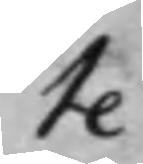te
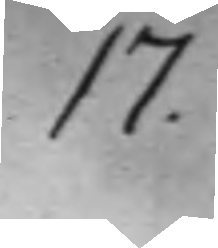17.
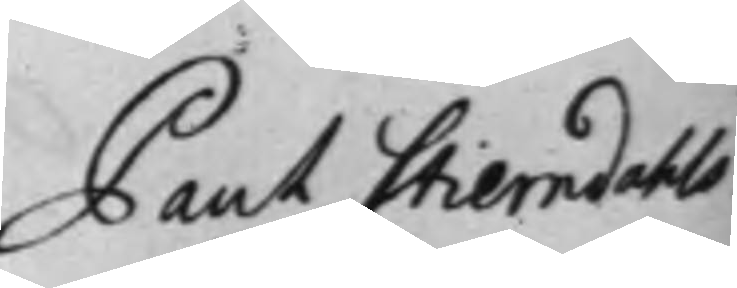Paul Stierndahls
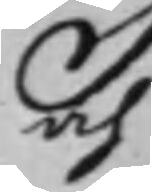och
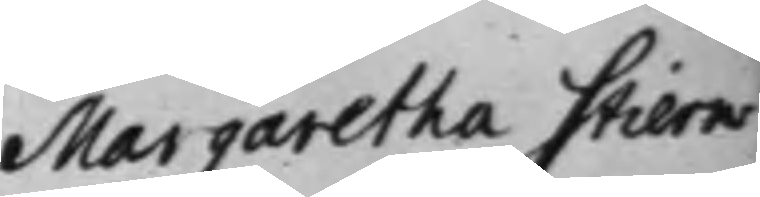Margaretha Stiern¬
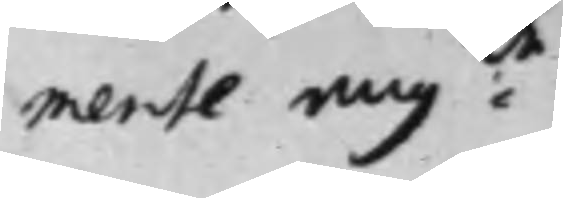mente ang:de
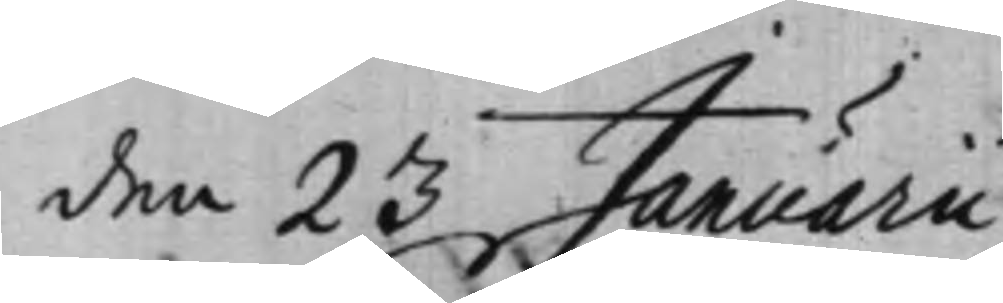den 23 Januarii
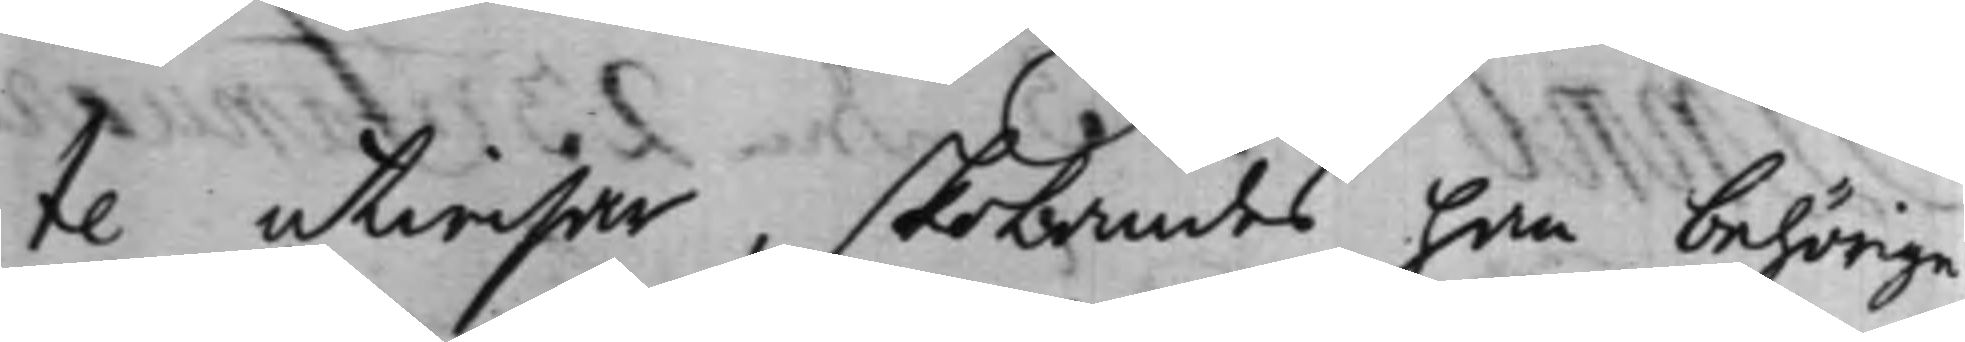te utwisar, skolandes han behörige
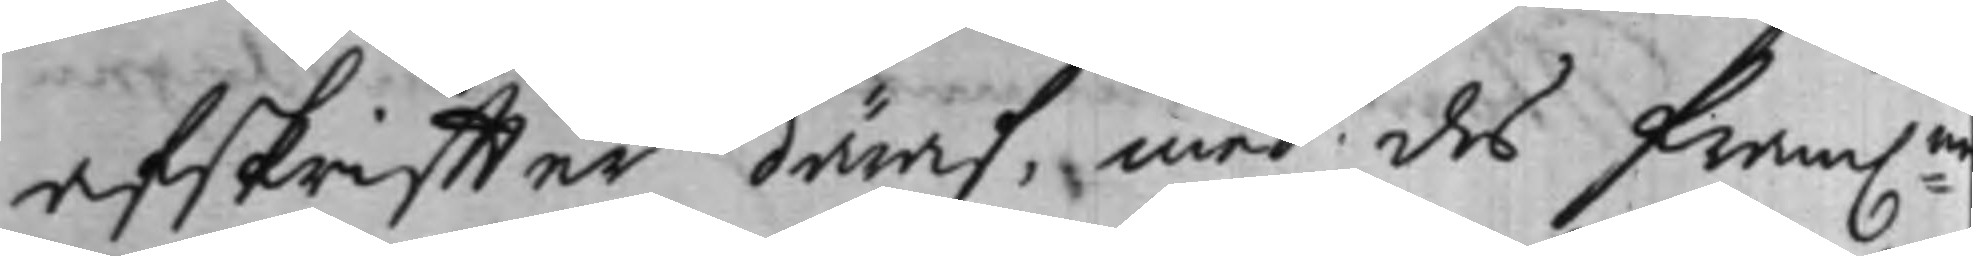afskriffter däraf, med des fram:ne
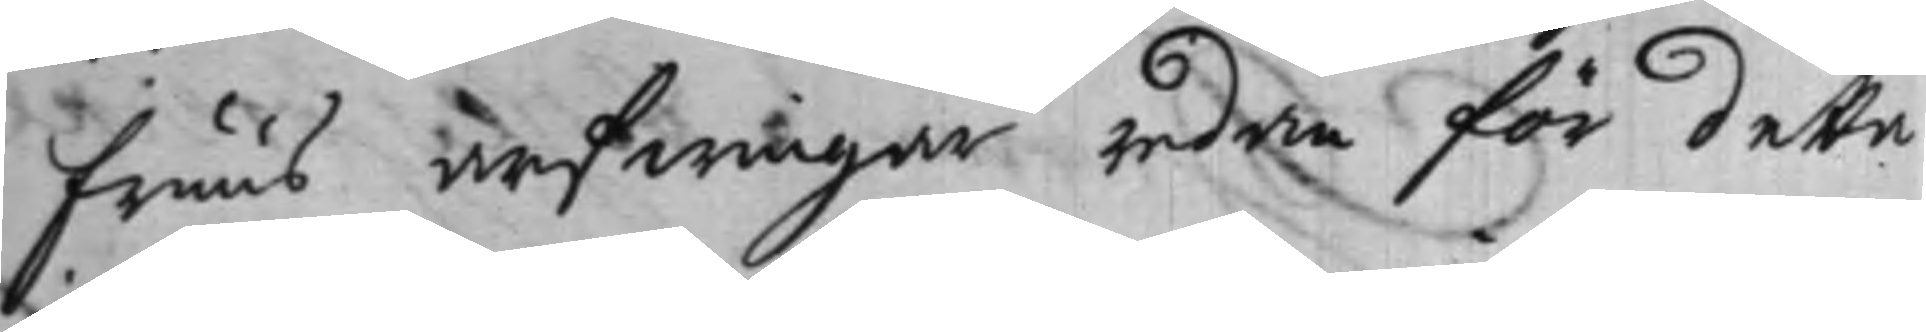fruus arfwingar redan för detta
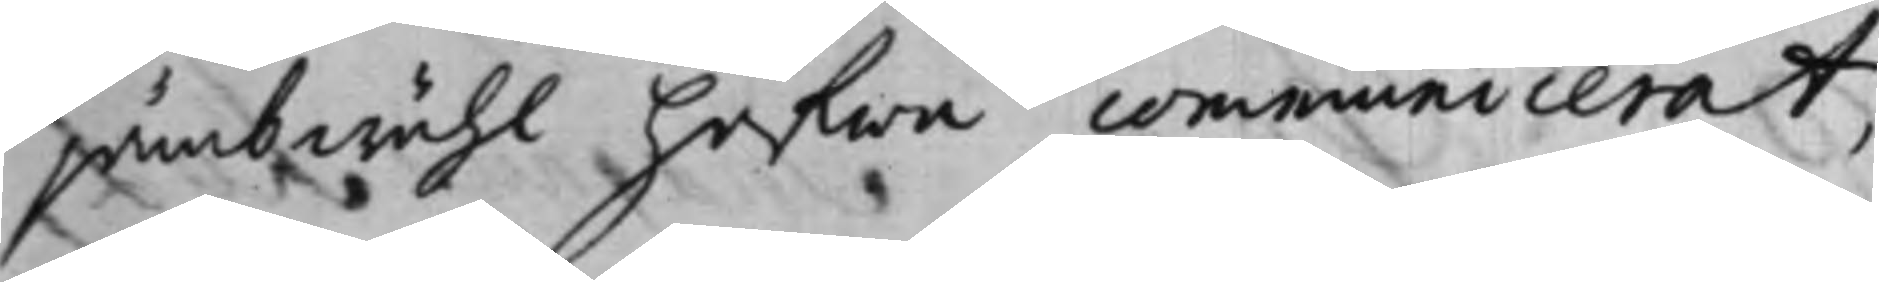jämbwähl hafwa communicerat,
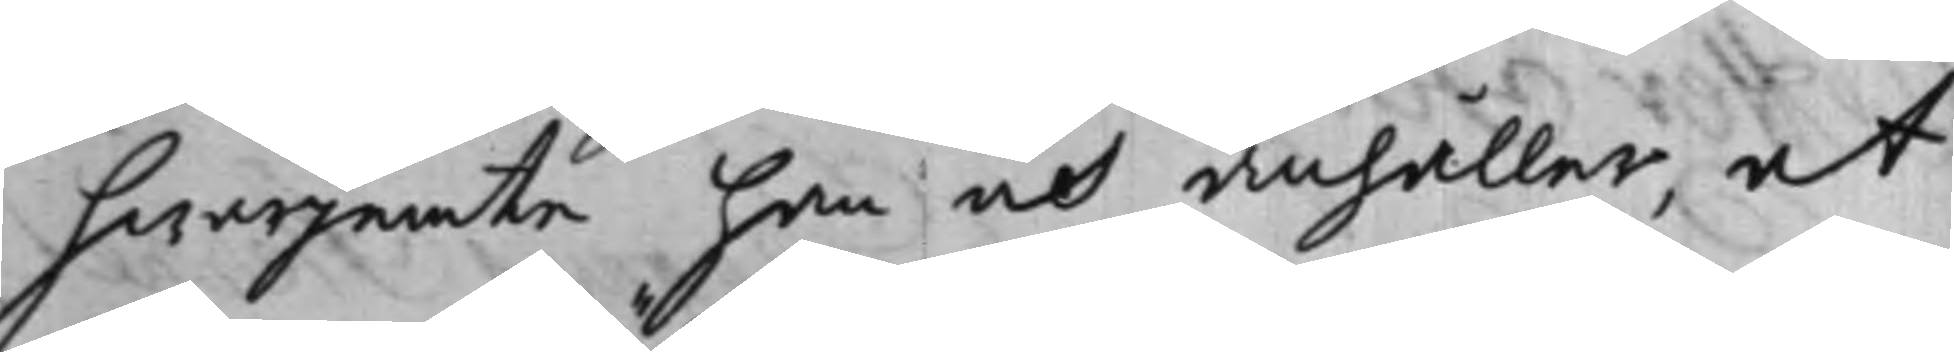hwarjemte han och anhåller, at
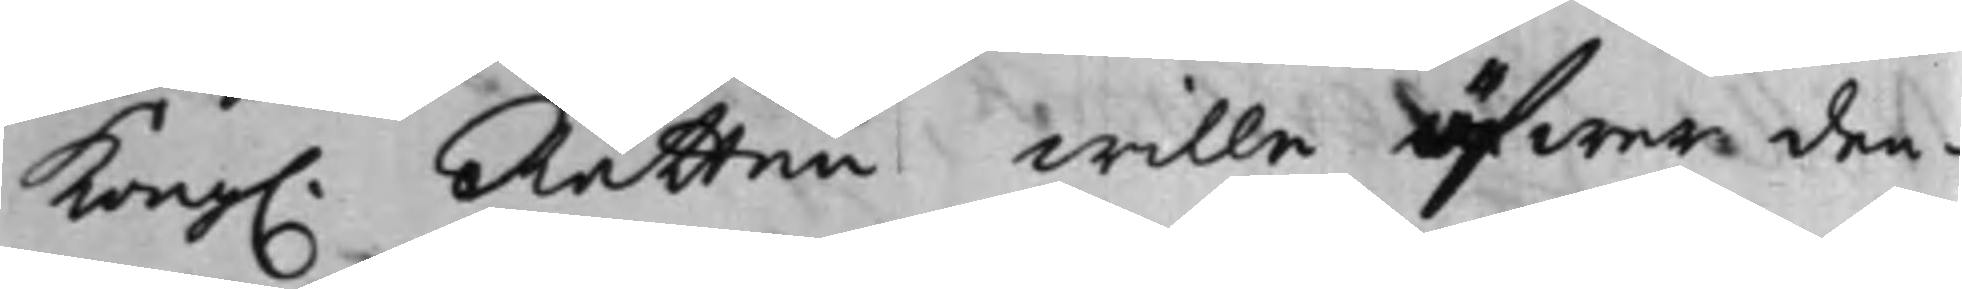Kong. Rätten wille öfwer den¬
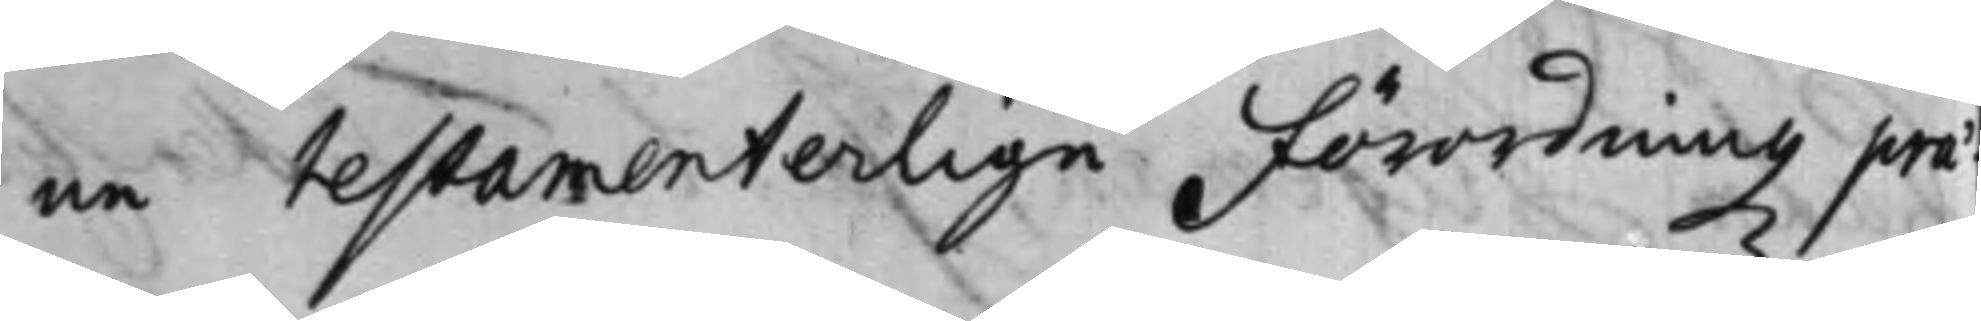ne testamenterlige Förordningz prae¬
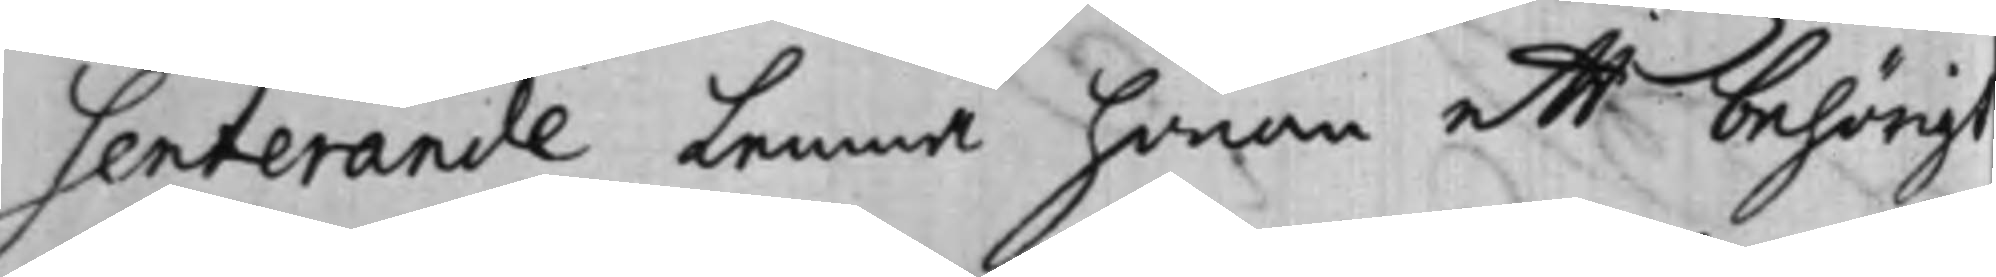senterande lemna honom ett behörigt
